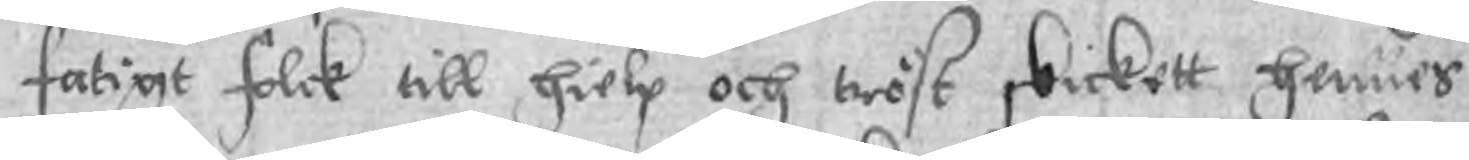fatigt folck till hielp och tröst skickett hennes
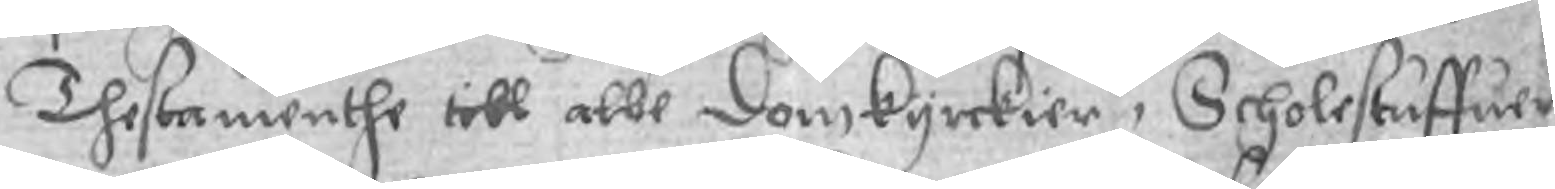Thestamenthe till alle Domkyrckier, Scholestuffuer
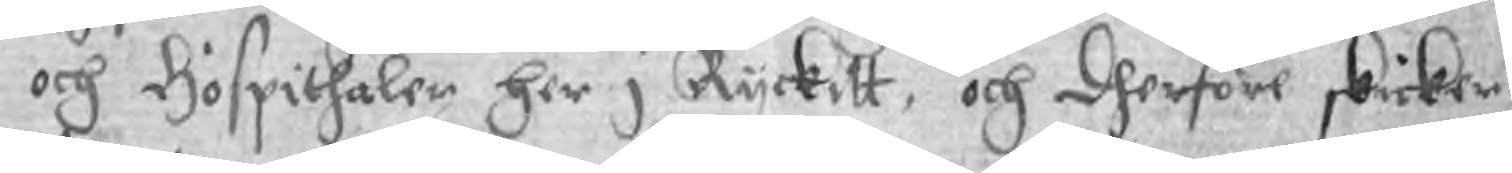och Hospithaler her i Ryckitt, och dherföre skicker
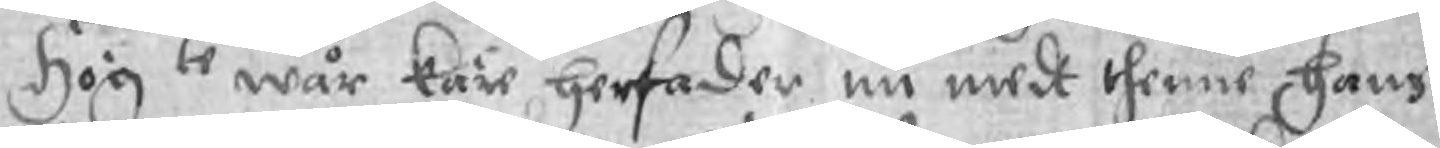Högte wår käre her fader nu medh thenne hans
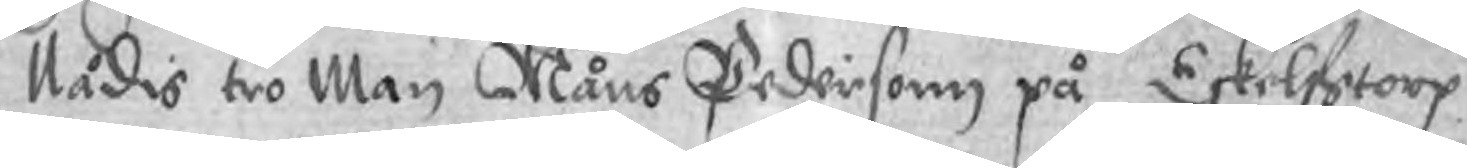Nådis tro Man Måns Pedersonn på Eskelfstorp
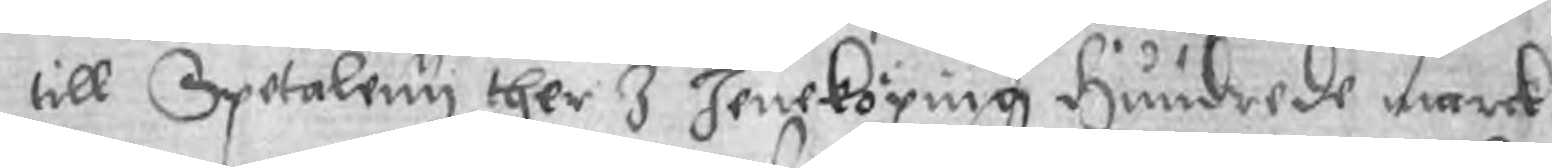till Spetaleny ther I Jeneköping Hundrede marck
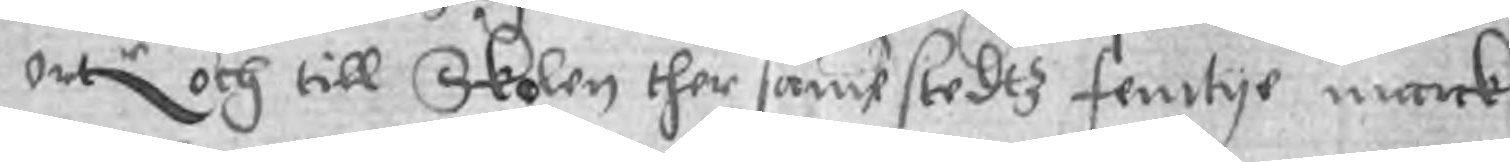ortr och till Skolen ther same stadtz femtye marck
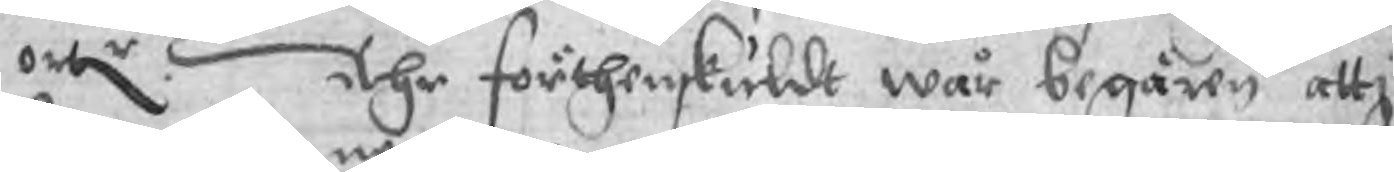ortr. Ähr förthenskuldt wår begären att,
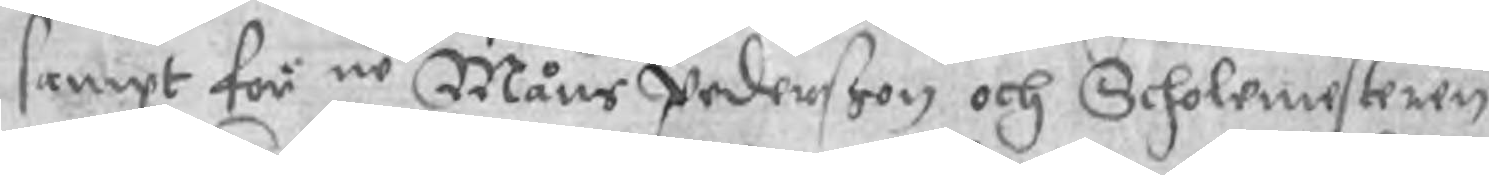sampt för ne Måns Pederßon och Scholemesteren
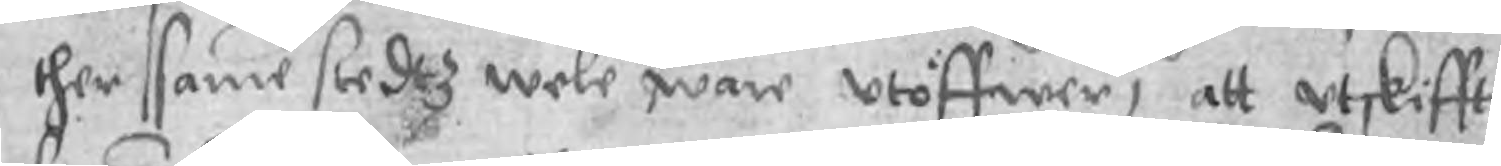ther samme stedtz wele ware utöffwer, att utskiffte
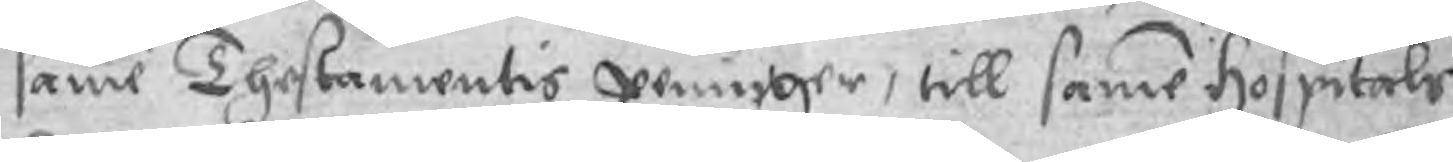samme Thestamentis peninger, till samme Hospitals
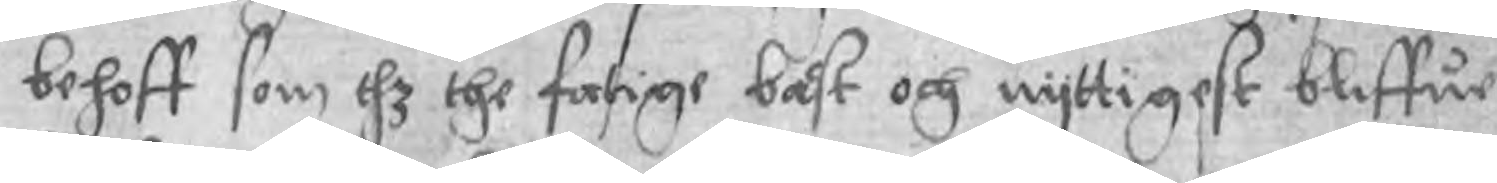behoff som dhz the fattige bäst och nyttigest bliffue
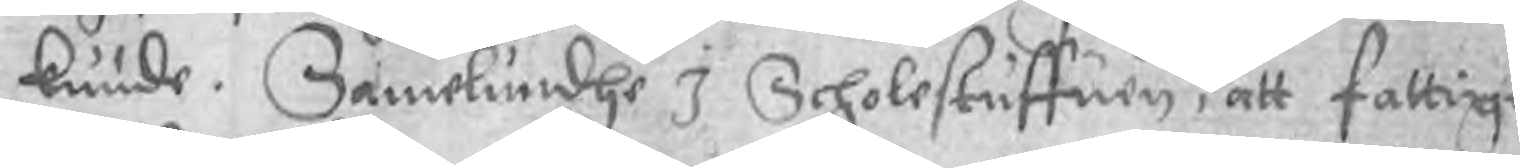kunde. Samelundhe I Scholestuffuen, att fattige
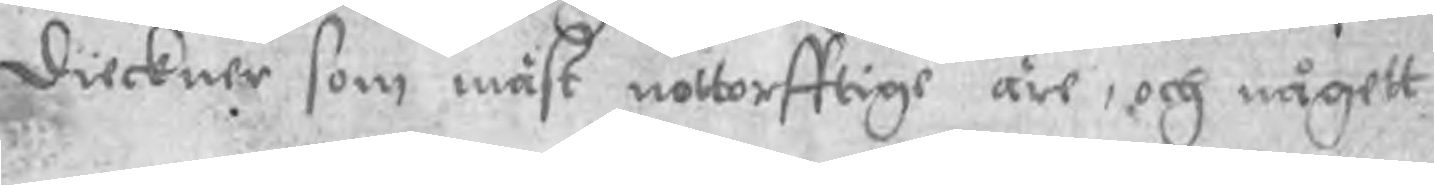dieckner som måst nottorfftige äre, och någett
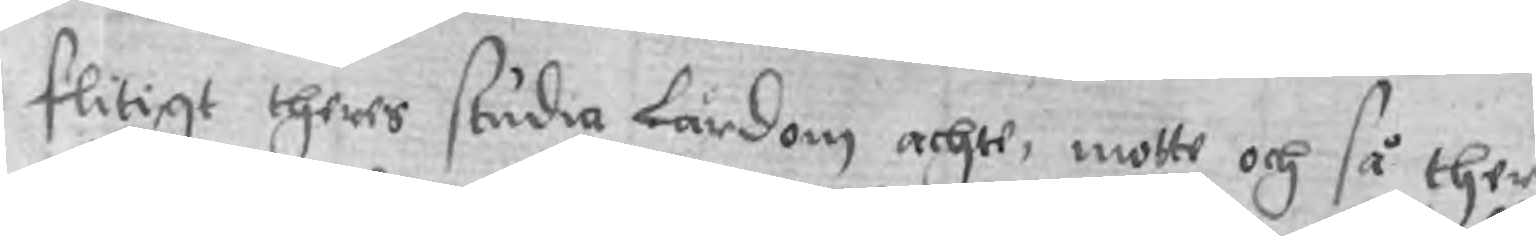flitigt theres studia lärdom achte, motte och så ther
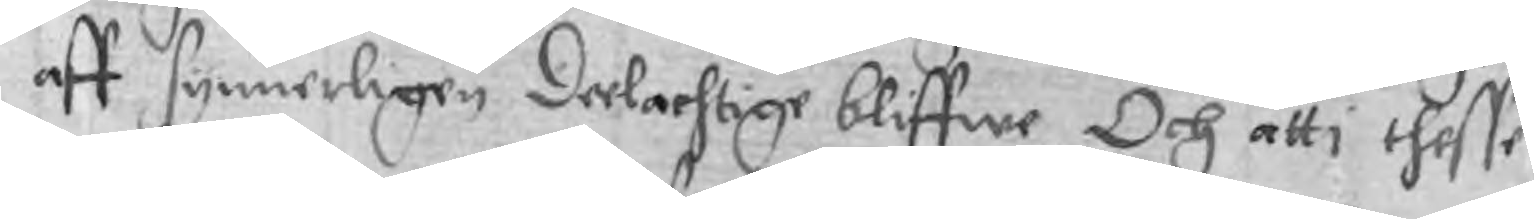aff synnerligen deelachtige bliffwe Och att i thesse
